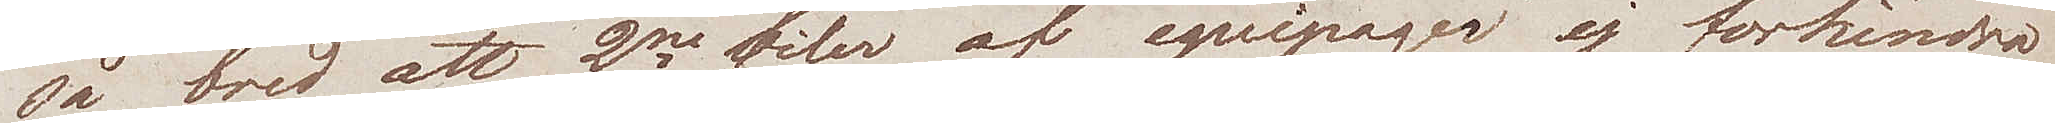så bred att 2ne filer av equipager ej förhindra
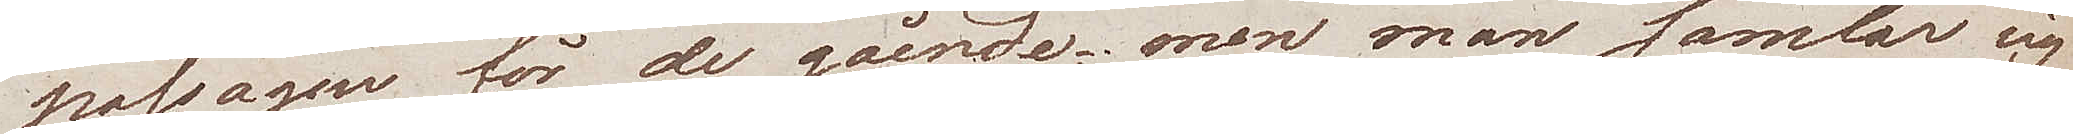passagen för de gående; men man samlar sig
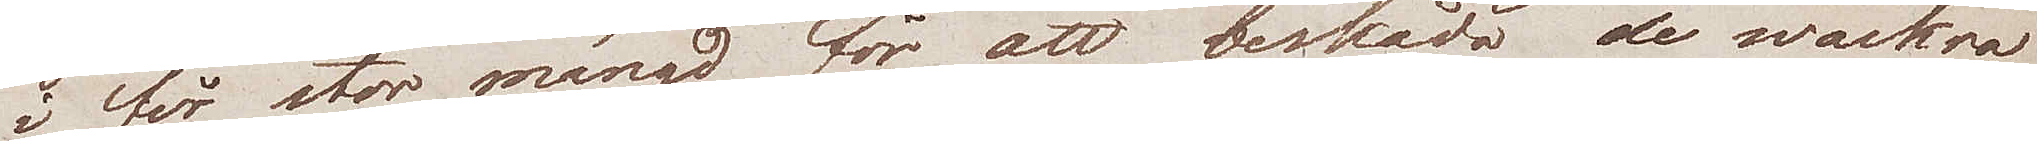i för stor mängd för att beskåda de wackra
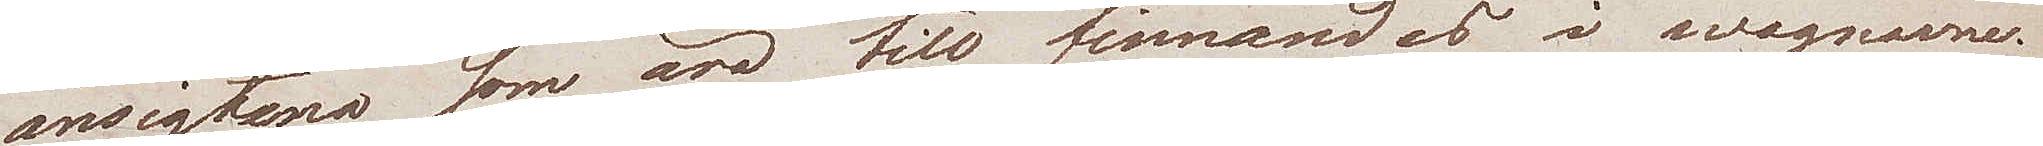ansigtena som äro tilll finnandes i wagnarne.
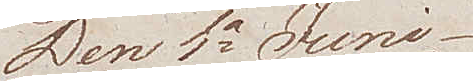Den 1a Juni
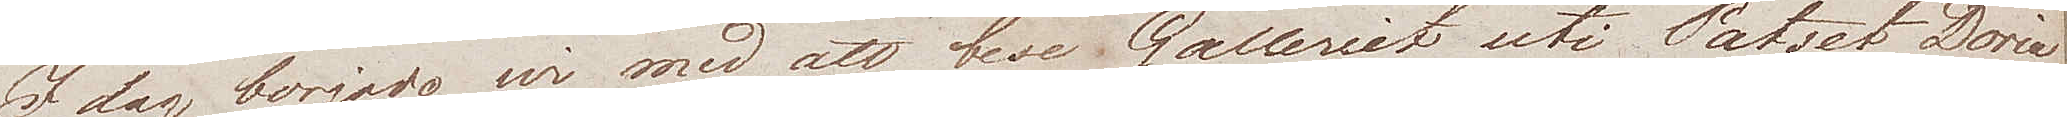Idag började wi med att bese Galleriet uti Patset Doria
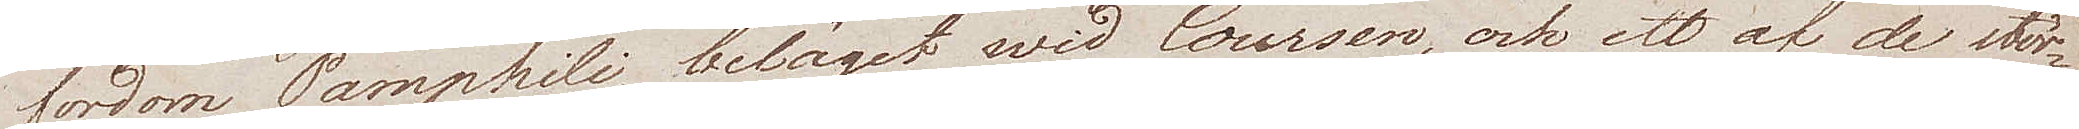fordom Pamphili, beläget wid Coursen, och ett af de stör¬
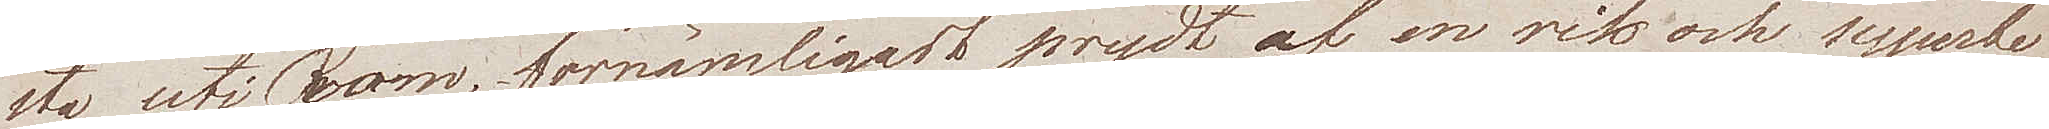sta uti Rom, förnämligast prydt af en rik och superbe
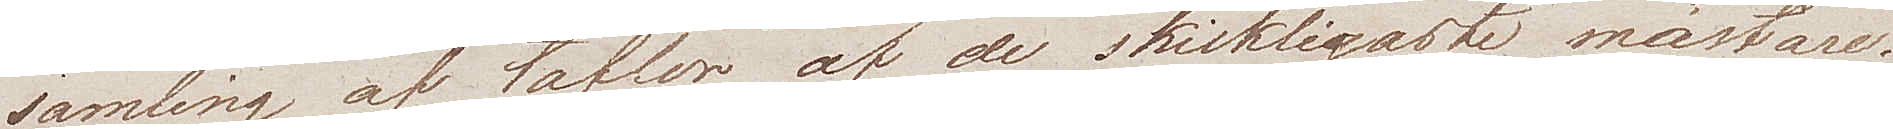samling af taflor af de skickligaste mästare.
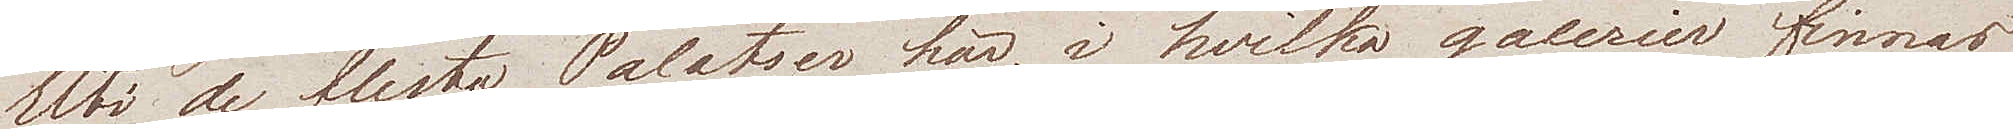Uti de flesta Palatser här, i hvilka galerier finnas
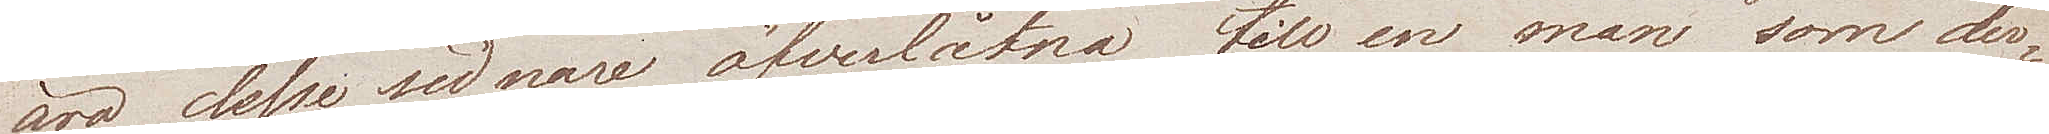äro dessa sednare öfverlåtna till en man som der¬
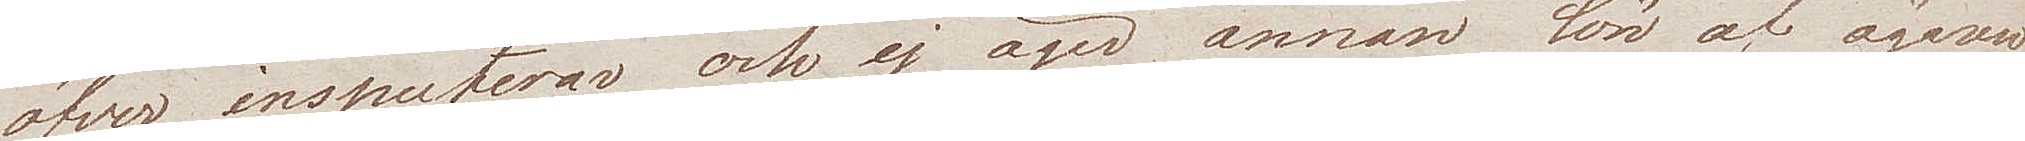öfver inspecterar, och ej äger annan lön af ägaren
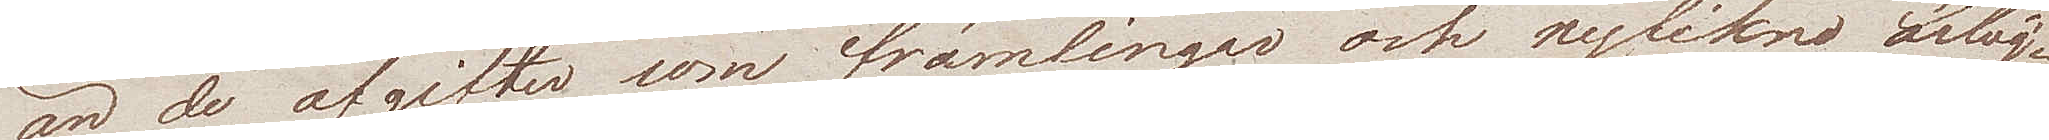än de afgifter som främlingar och nyfikna ärläg¬
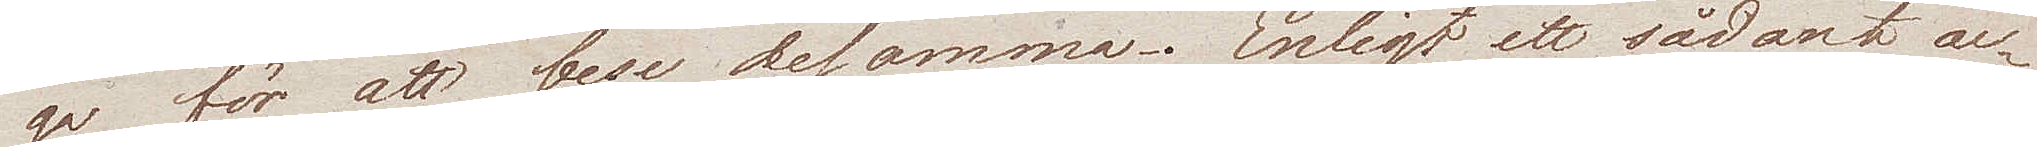ga för att bese desamma. Enligt ett sådant ac¬
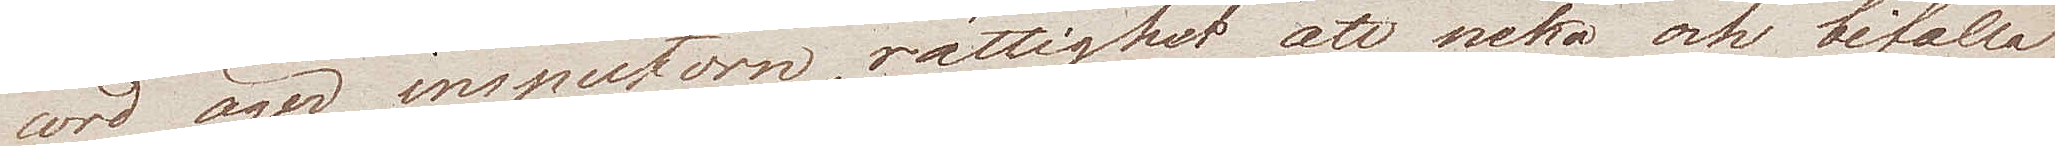cord äger inspectorn, rättighet att neka och bifalla
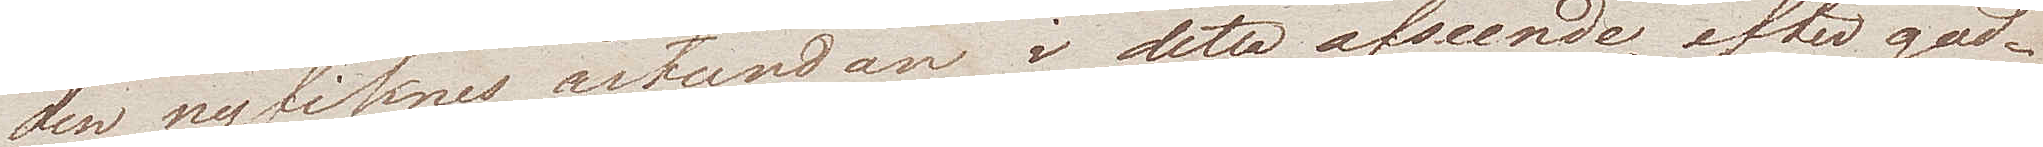den nyfiknes åstundan i detta afseende, efter god¬
